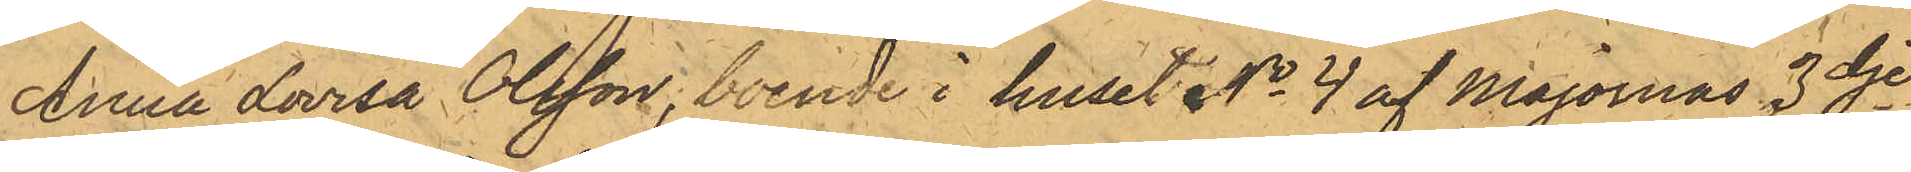Anna Lovisa Olsson, boende i huset No 4 af Majornas 3dje
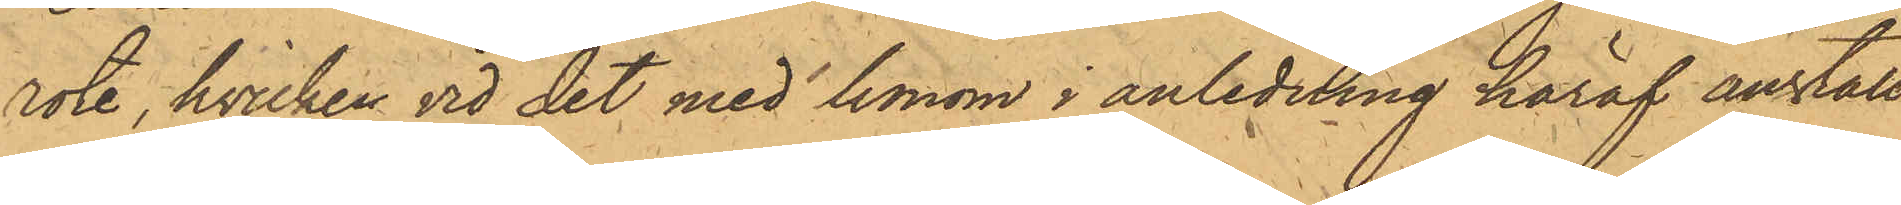rote, hvilken vid det med honom i anledning häraf anställ¬
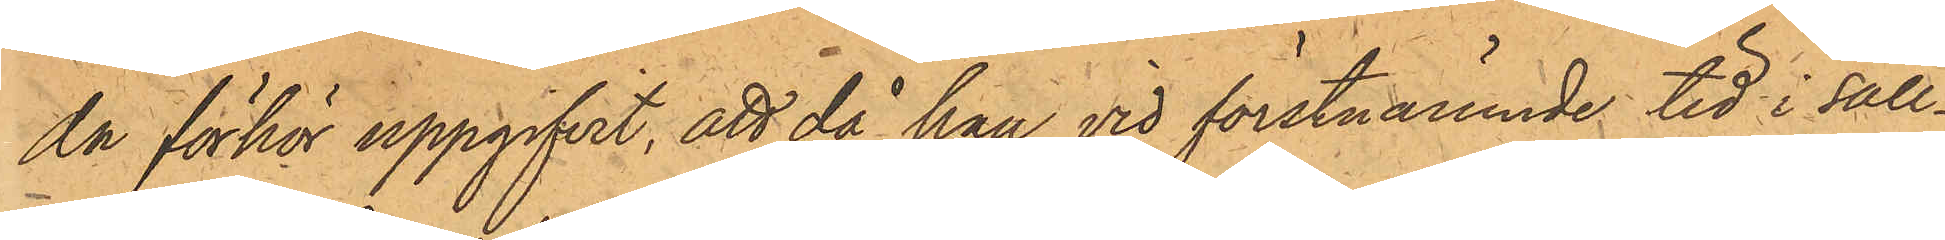da förhör uppgifvit, att då han vid förstnämnde tid i säll¬
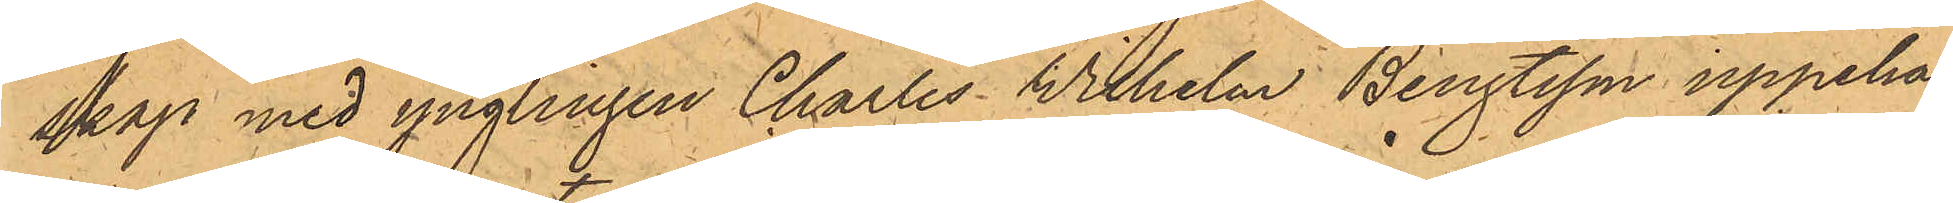skap med ynglingen Charles Wilhelm Bengtsson uppehål¬
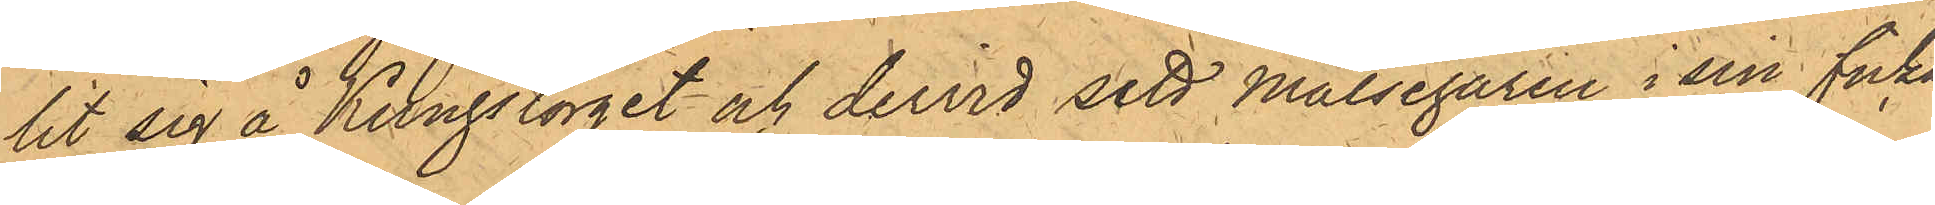lit sig å Kungstorget och dervid sett Målsegaren i sin ficka
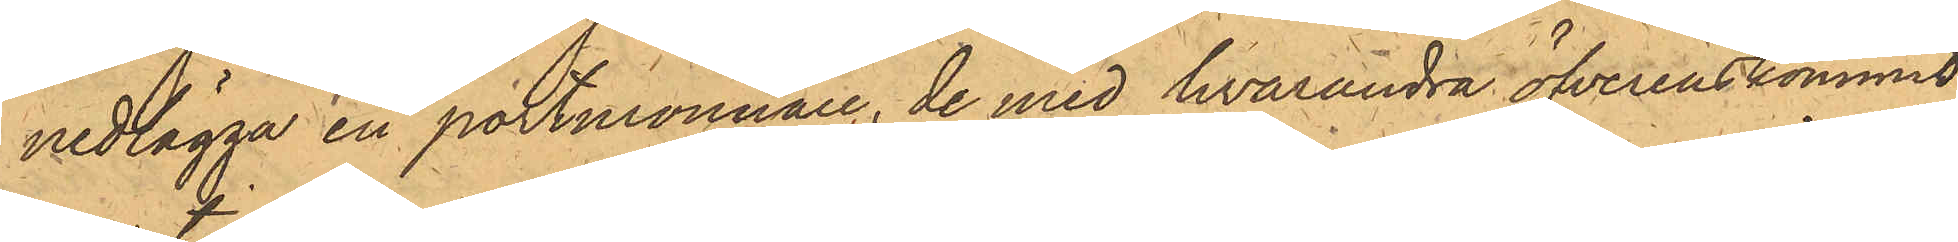nedlägga en portmonnaie, de med hvarandra öfverenskommit
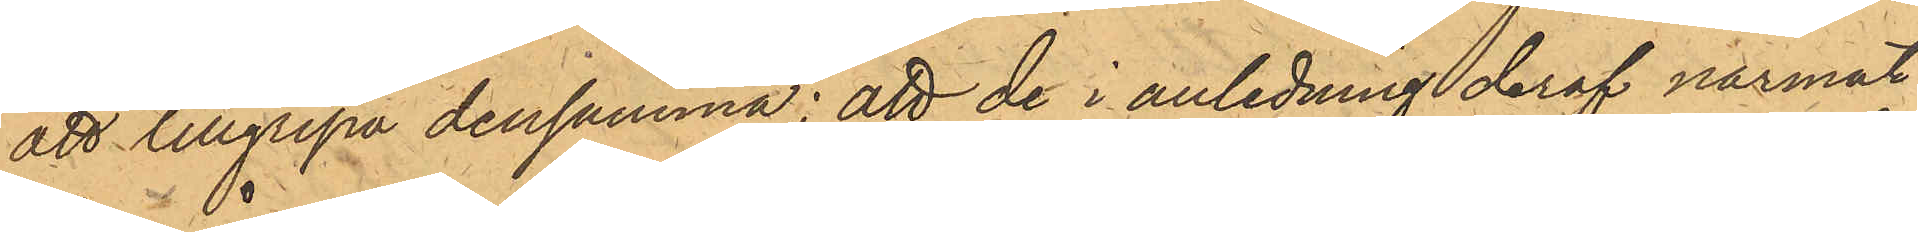att tillgripa densamma; att de i anledning deraf närmat
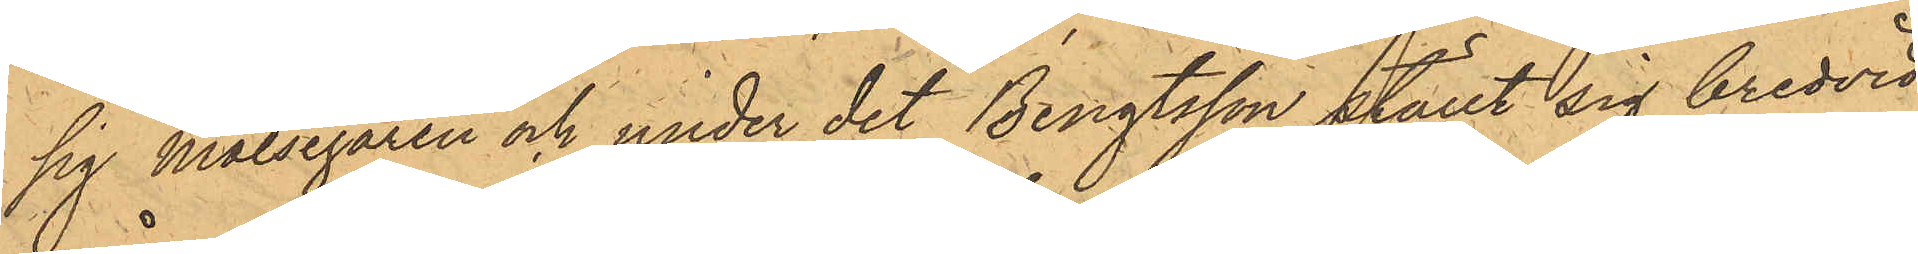sig målsegaren och under det Bengtsson ställt sig bredvid
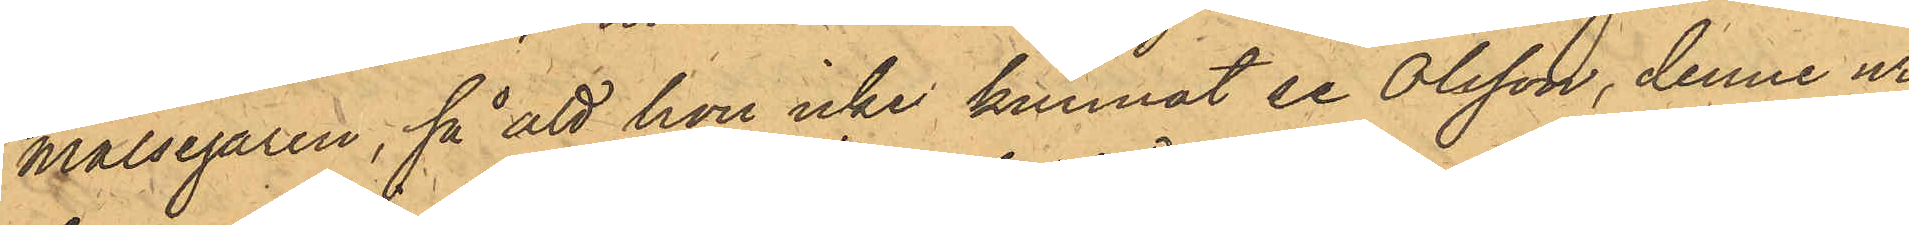målsegaren, så att hon icke kunnat se Olsson, denne ur
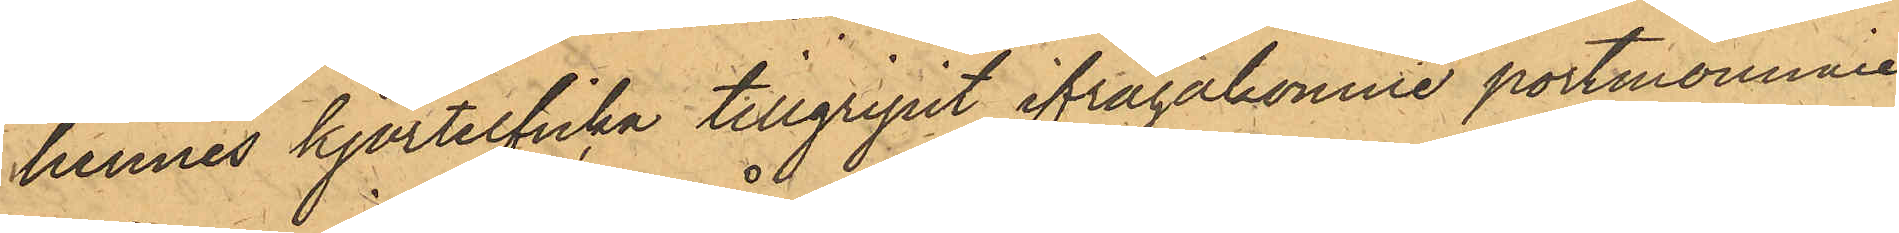hennes kjortelficka tillgripit ifrågakomne portmonnaie
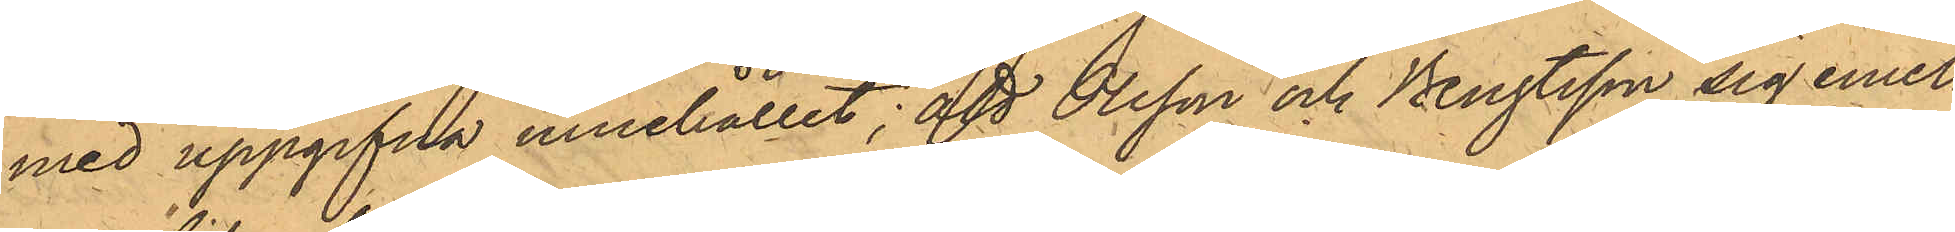med uppgifna innehållet; att Olsson och Bengtsson sig emel¬
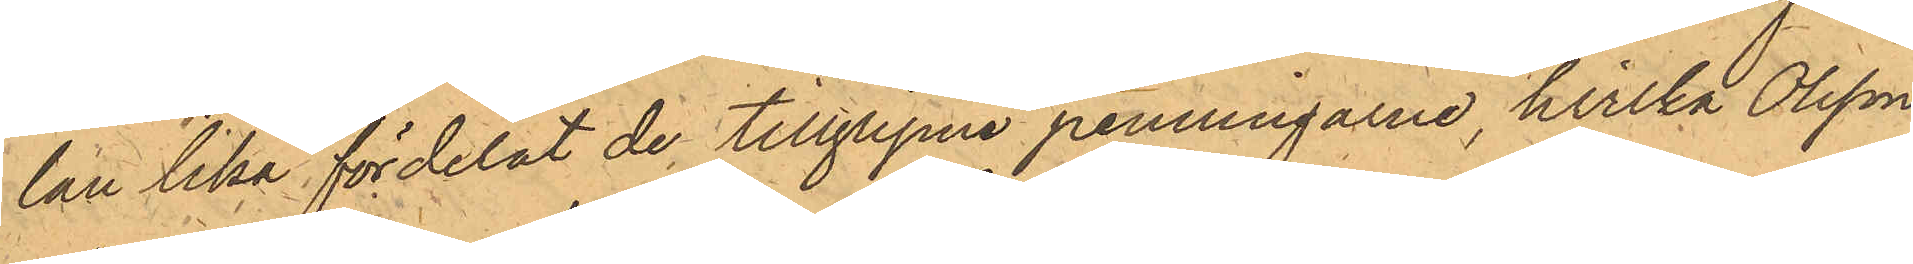lan lika fördelat de tillgripne penningarne, hvilka Olsson
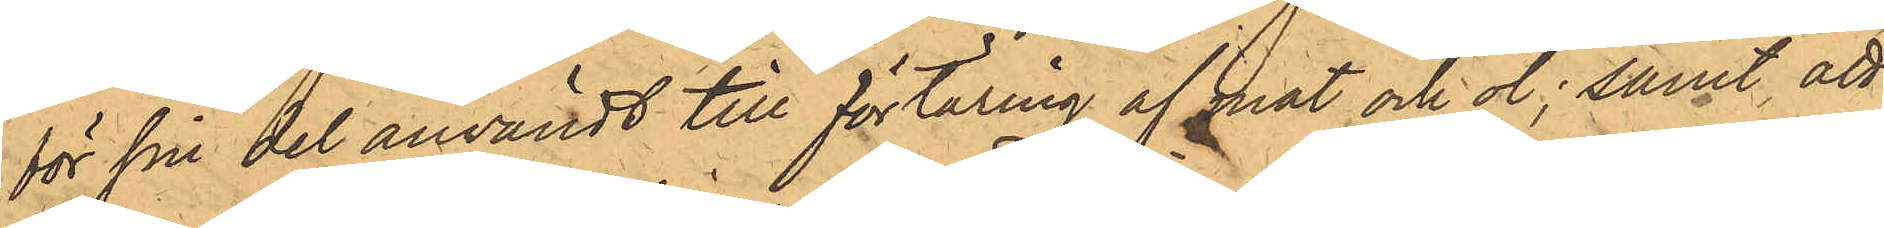för sin del användt till förtäring af mat och öl; samt att
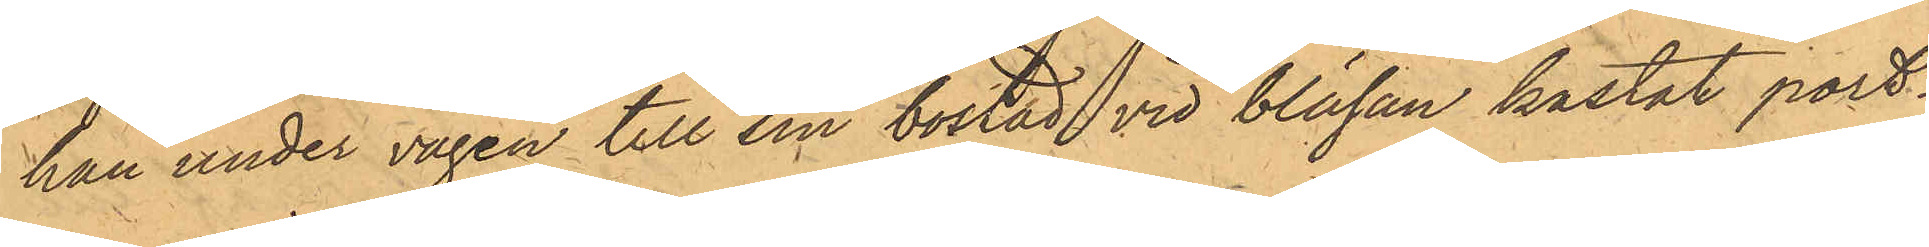han under vägen till sin bostad vid bläsan kastat port¬
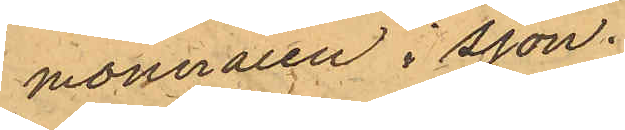monnaien i sjön.
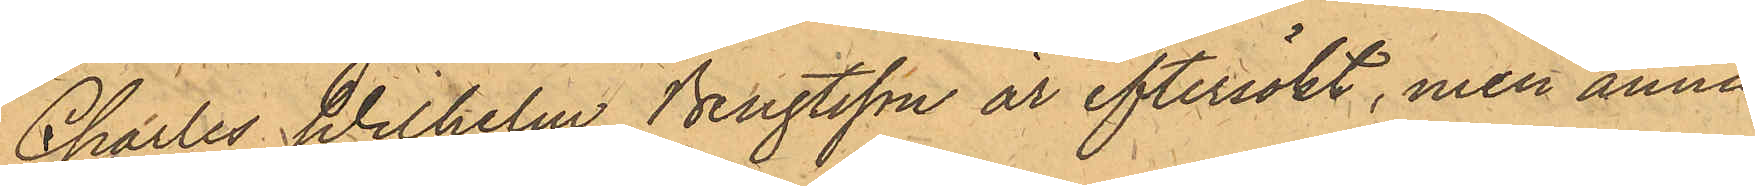Charles Wilhelm Bengtsson är eftersökt, men ännu
